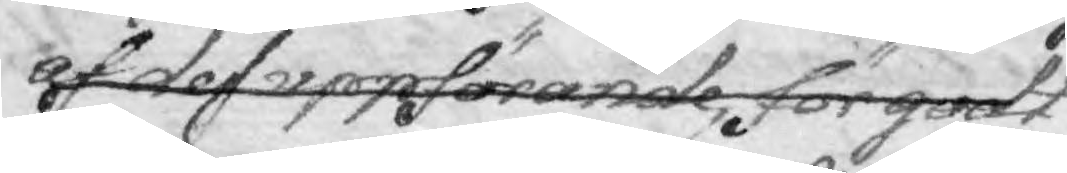af des uppförande, för godt
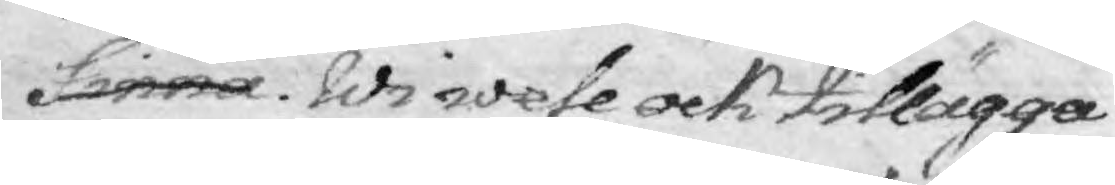finna. Wi wele ock tillägga
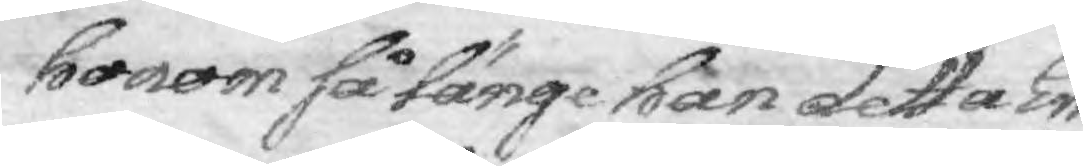honom så länge han detta Em¬
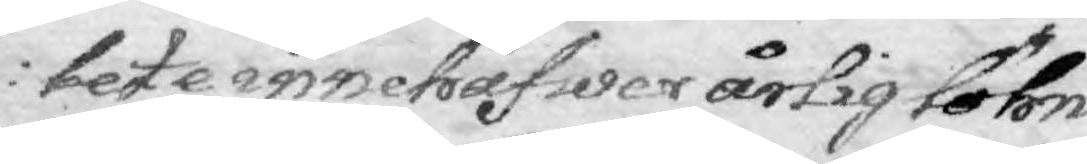bete innehafwer årlig löhn
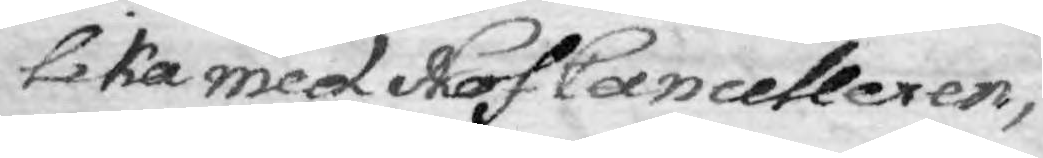lika med Hof Cancelleren, 
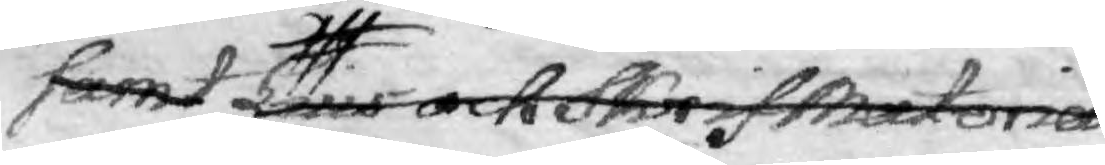samt Lius och Skrif Matoria¬
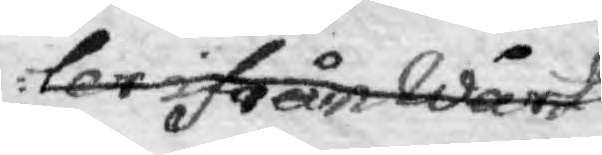ler ifrån Wårt
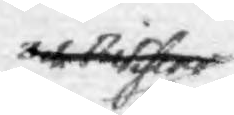3de skrifer
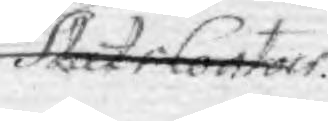Slut i Contors.
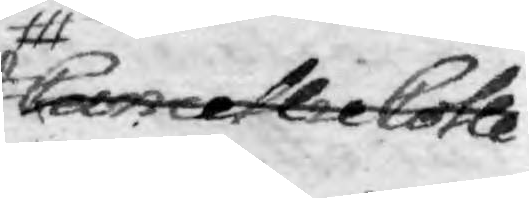Cancellie Colle¬
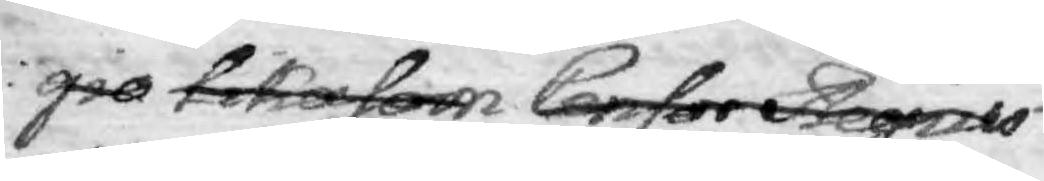gio likasom Censor Regio
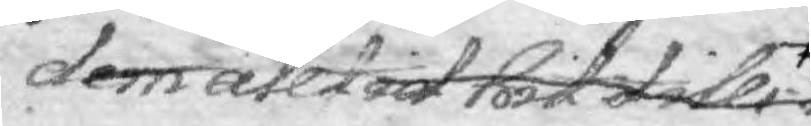dem alltid hit tills
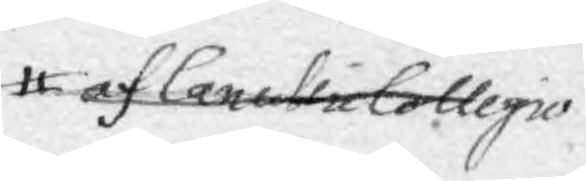af Cacellie Collegio
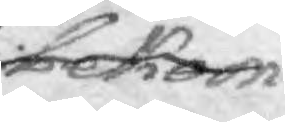bekom¬
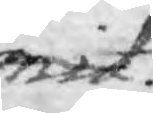mit.
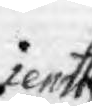jemtte
